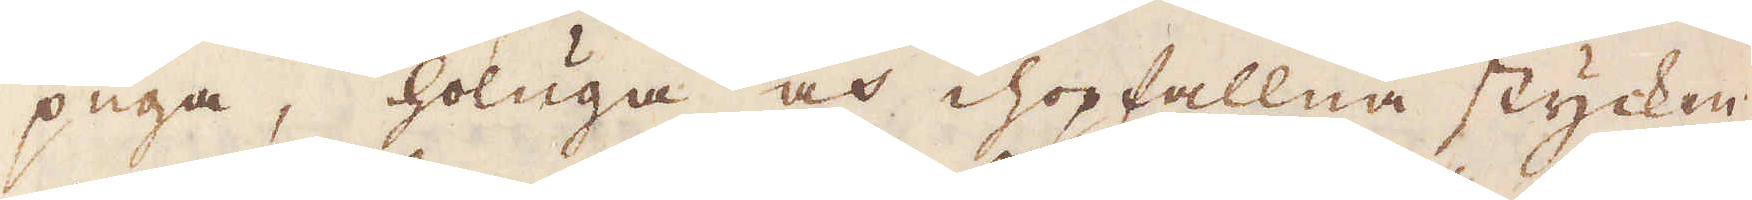puga, holuga och ihopfallna stycken.
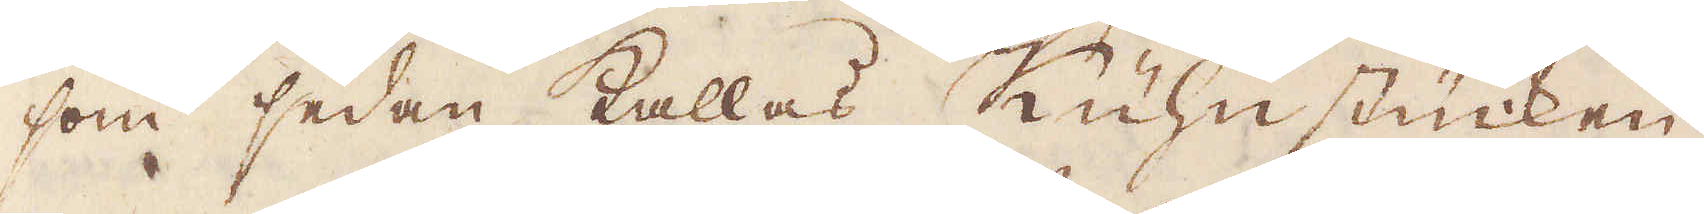som sedan kallas Kühnstücken.
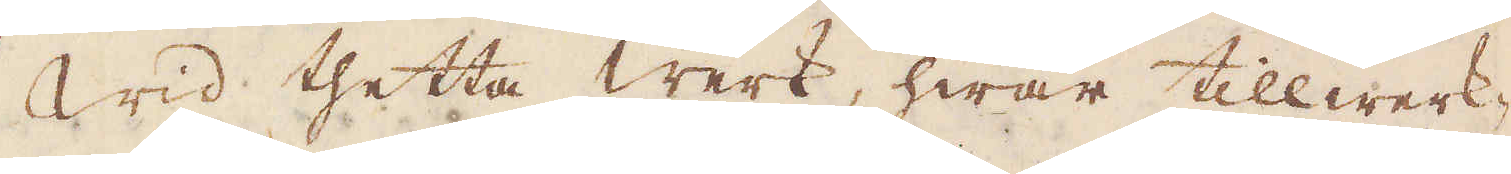Wid thetta Werk, hwar tillwerk-
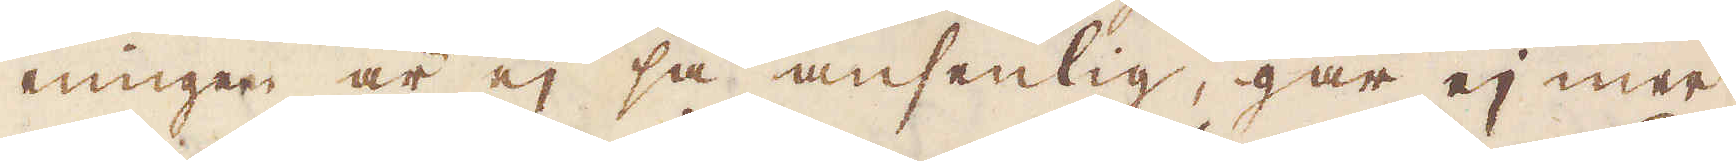ningen är ej så ansenlig, går ej mer
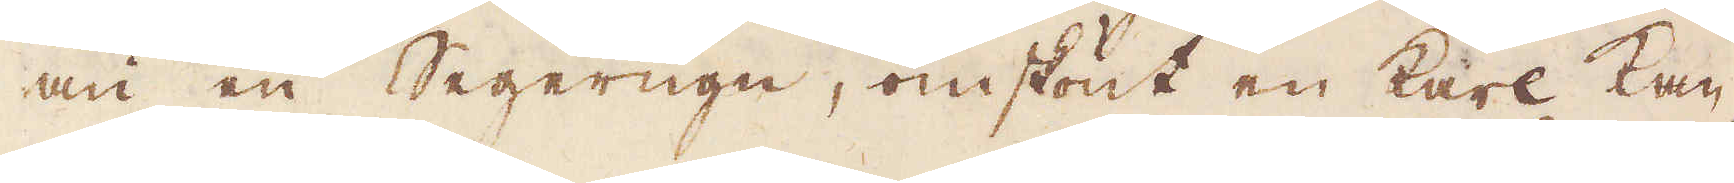än en Segerugn, omskönt en karl Kan-
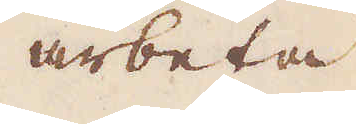arbeta
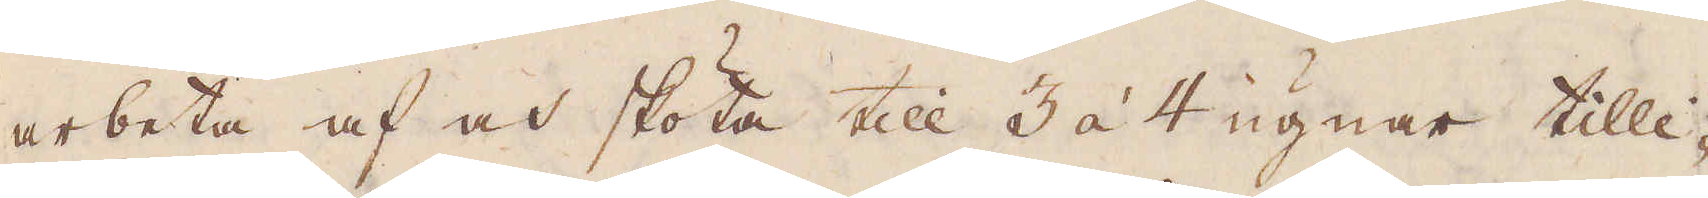arbeta af och skötta till 3 à 4 ugnar tilli-
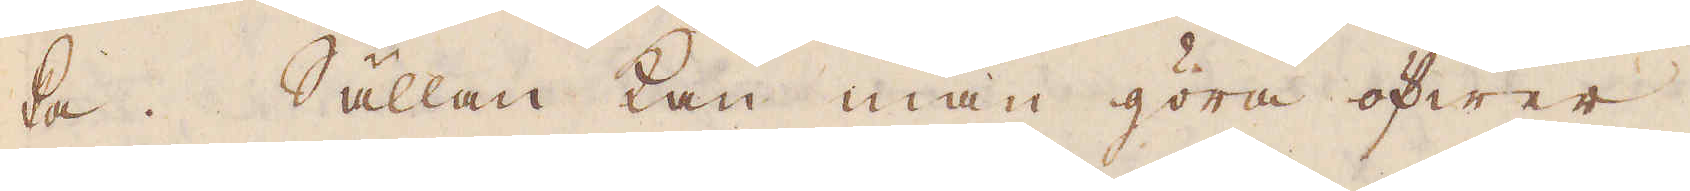ka. Sällan kan man göra öfwer
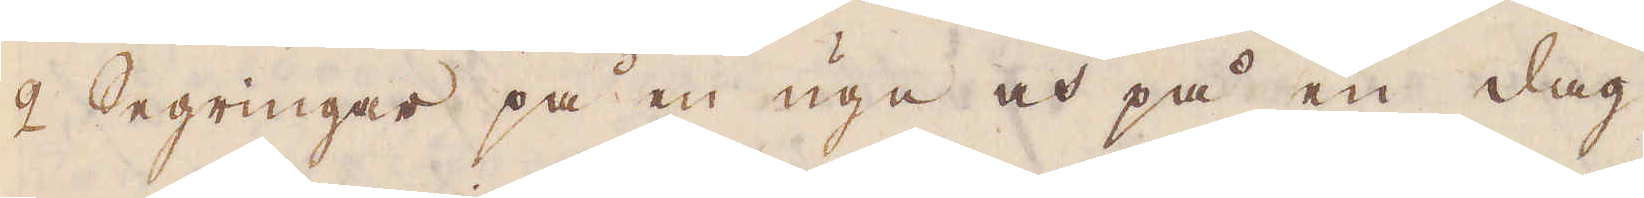2 Segringar på en ugn och på en dag,
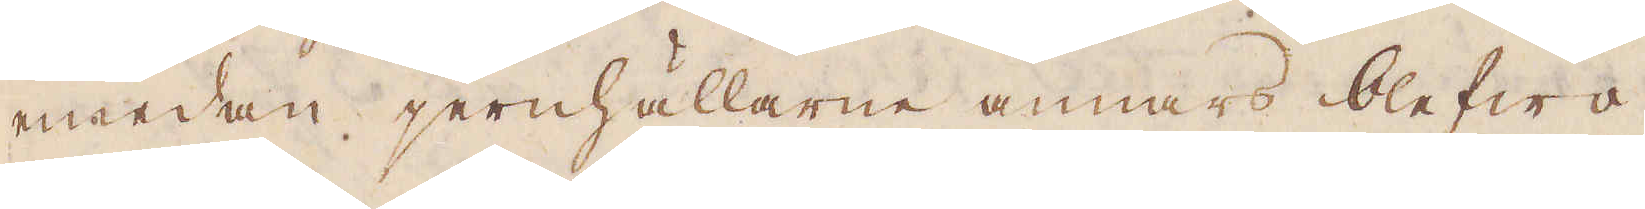emedan jernhällarne annars blefwa
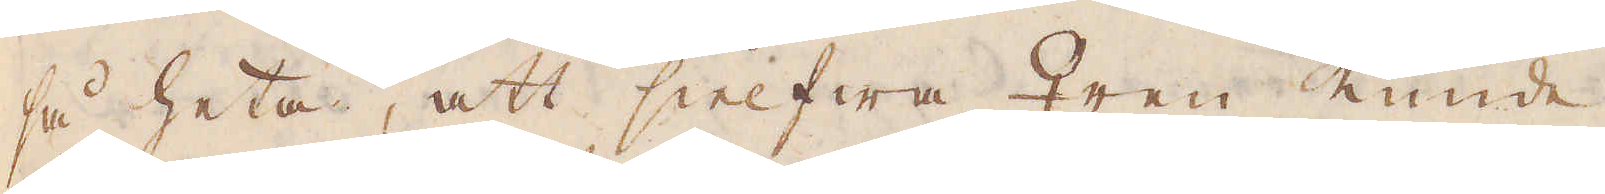så heta, att sielfwa ♀ren kunde
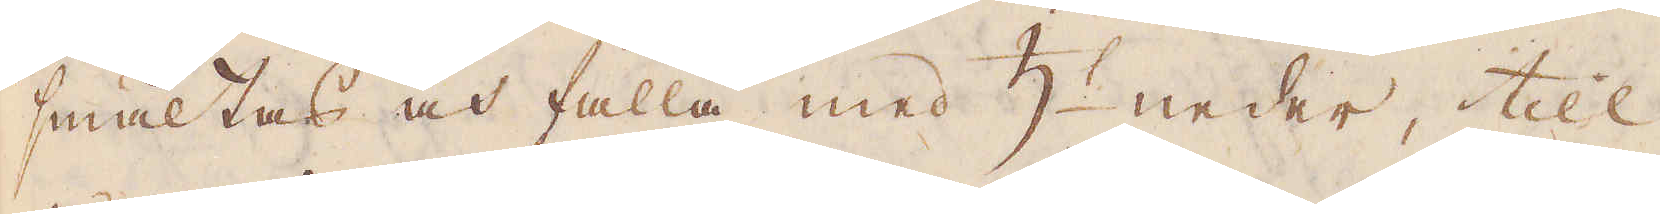smältas och falla med ♄:t neder, till
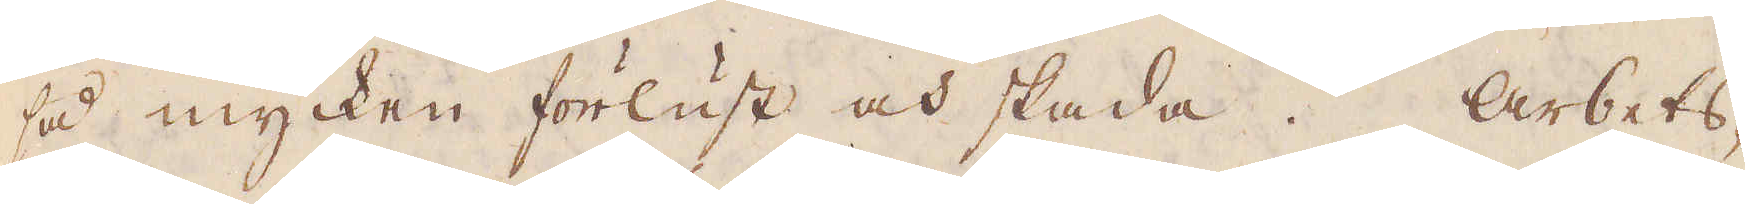så mycken förlust och skada. Arbets-
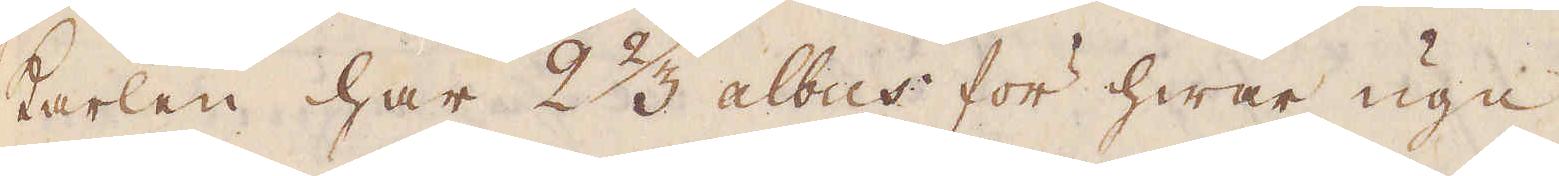karlen har 2 2/3 albus för hwar ugn
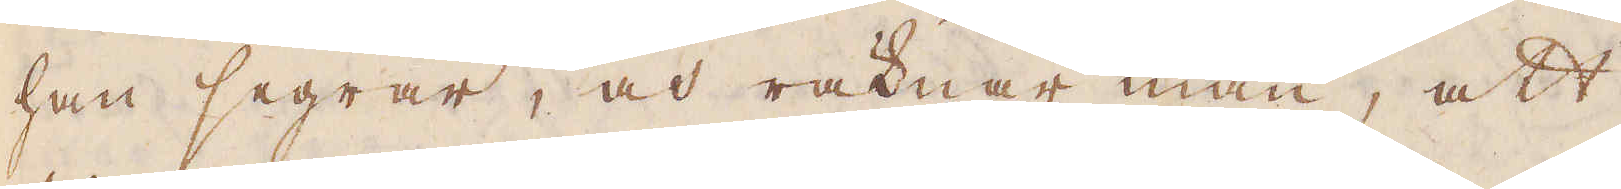han segrar, och räknar man, att
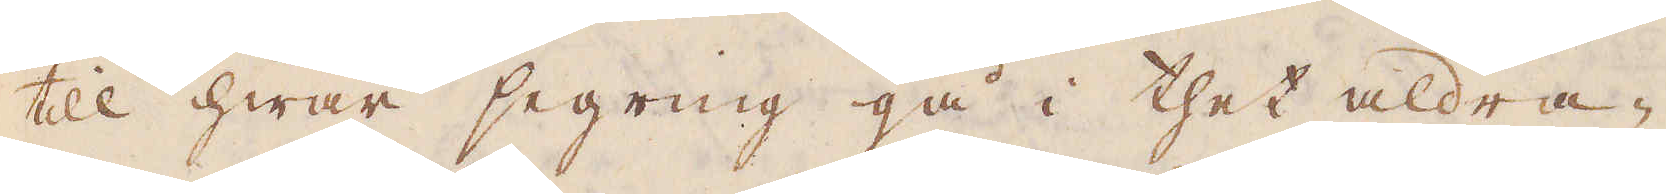till hwar segring gå i thet aldra-
